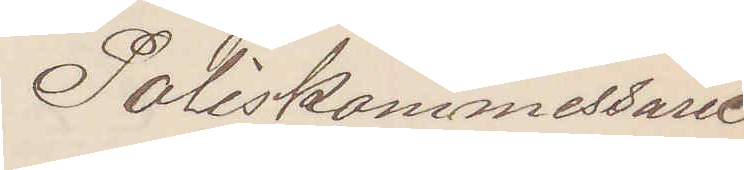Poliskommissarie
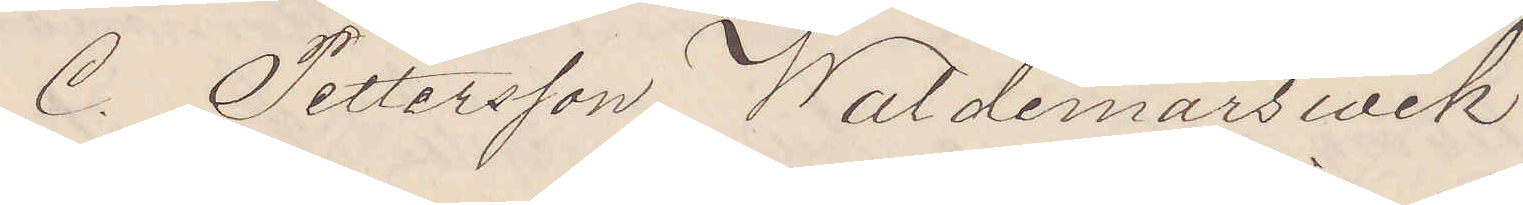C. Pettersson Waldemarswik
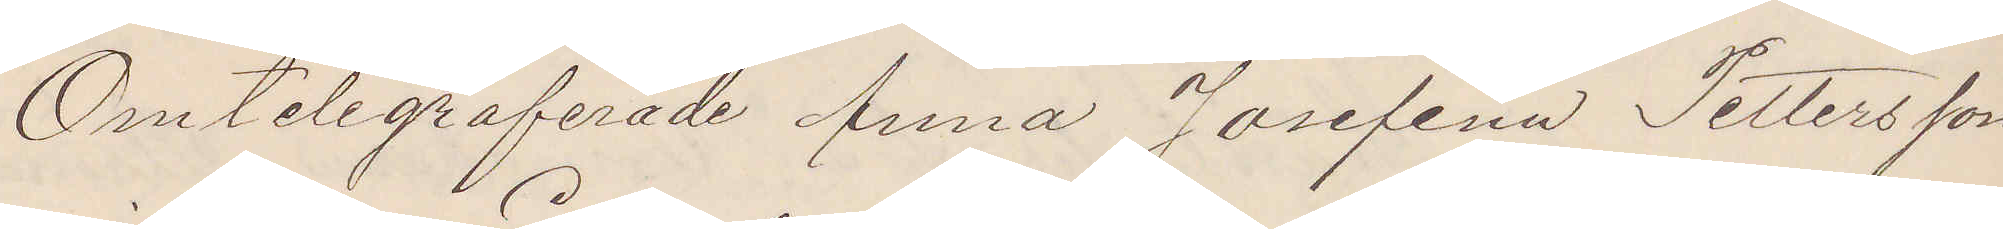Omtelegraferade Anna Josefina Pettersson
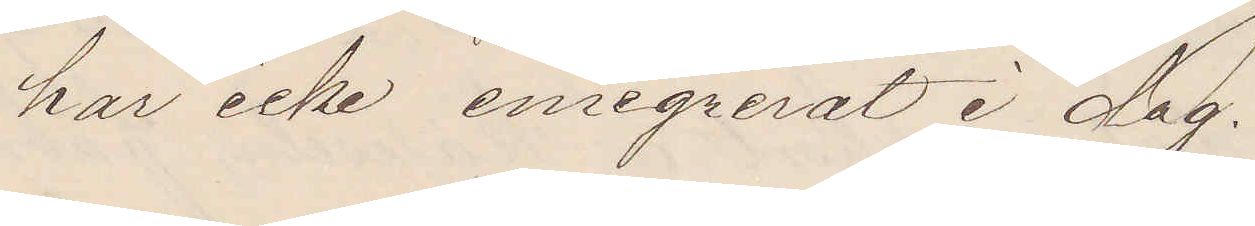har icke emigrerat i dag.
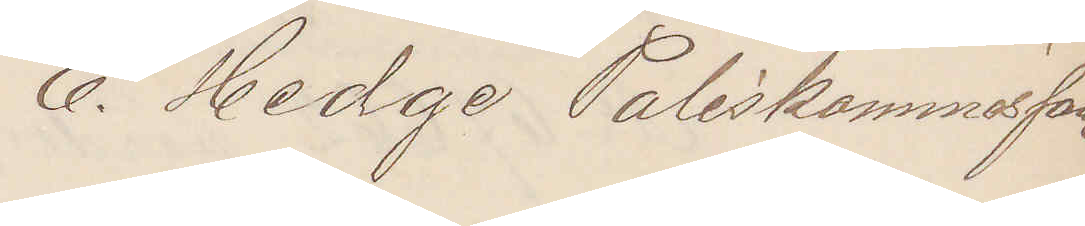E. Hedge Poliskommissarie
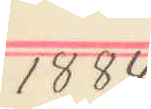1884
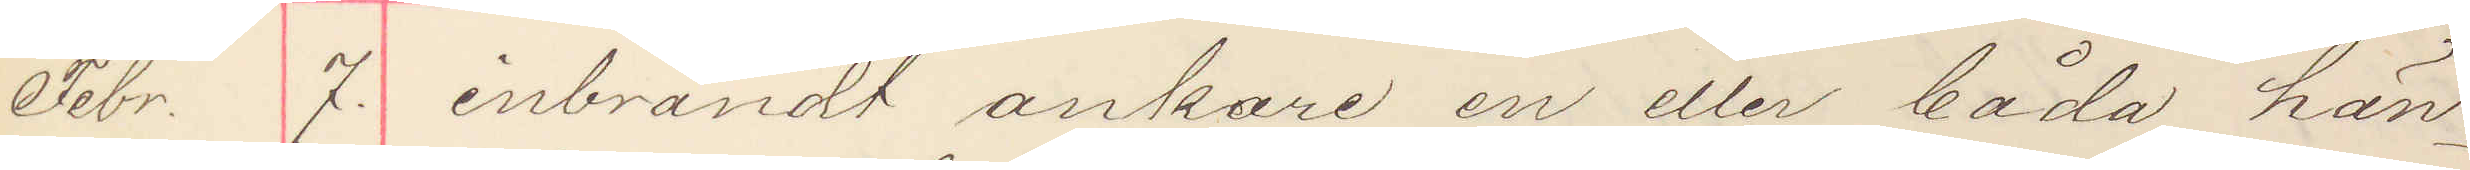Febr. 7. inbrändt ankare en eller båda hän¬
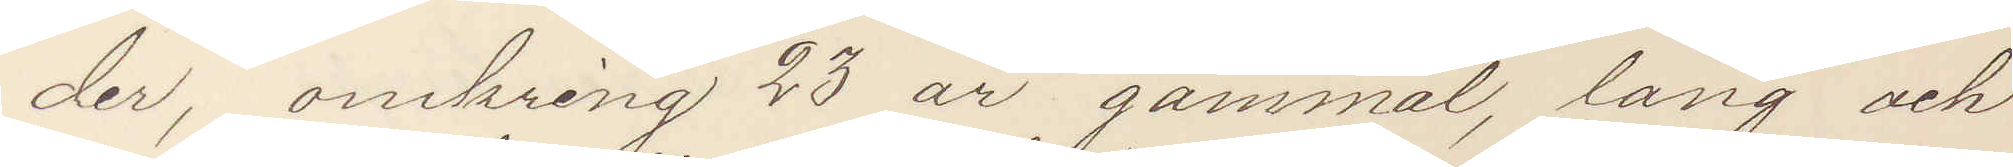der omkring 23 år gammal, lång och
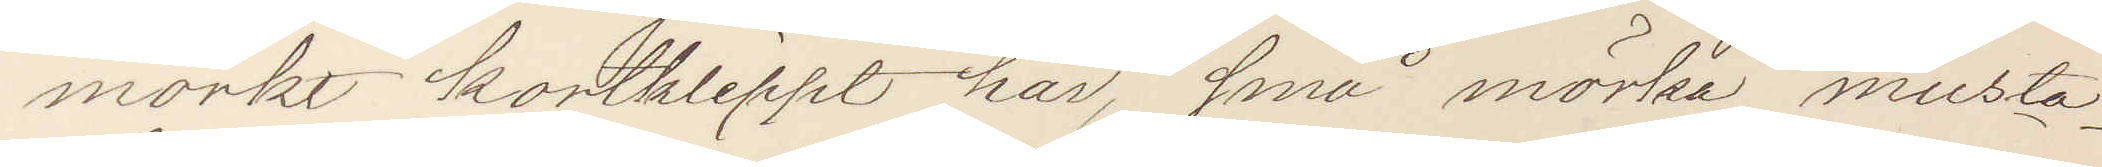mörkt kortklippt hår, små mörka musta¬
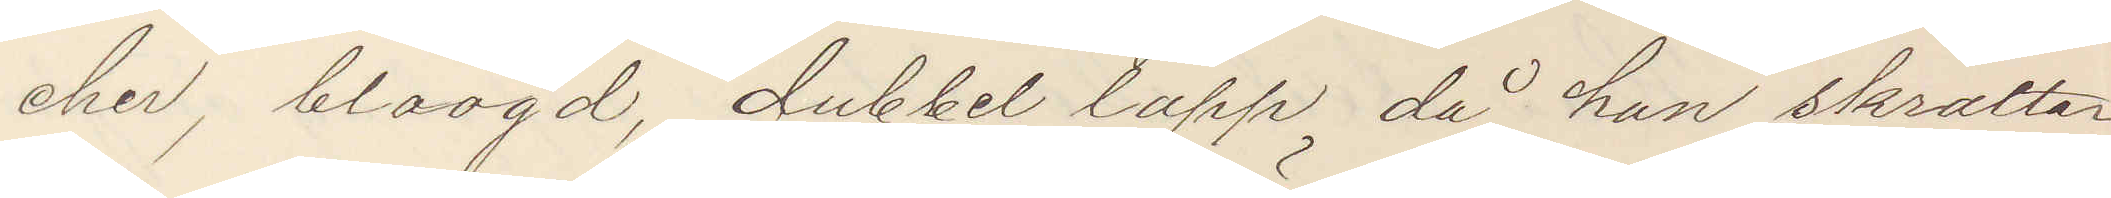cher, blåögd, dubbel läpp då han skrattar,
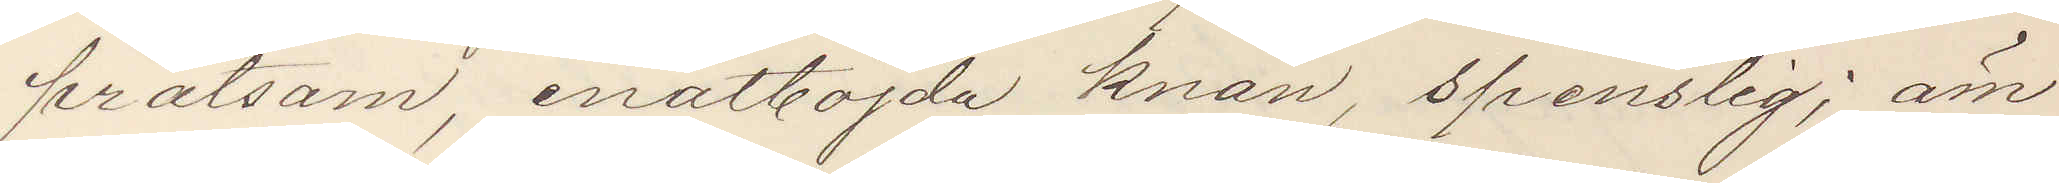pratsam, inåtböjda knän, spenslig; äm¬
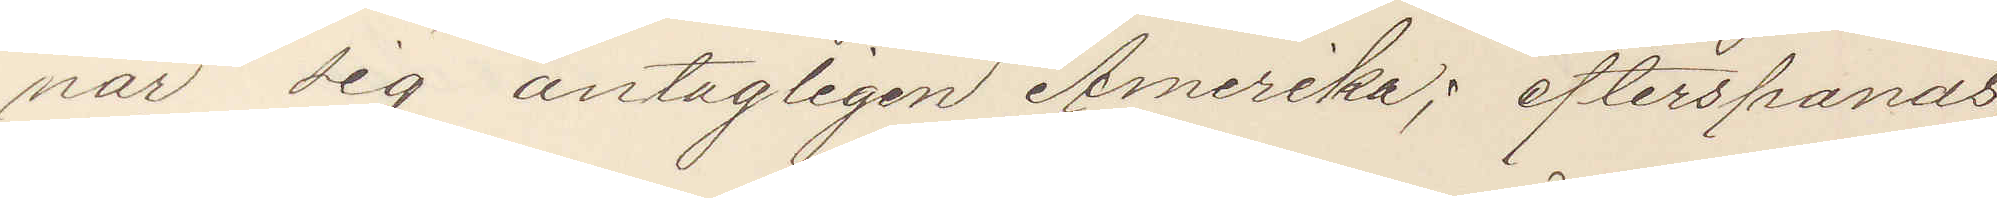nar sig antagligen Amerika; efterspanas,
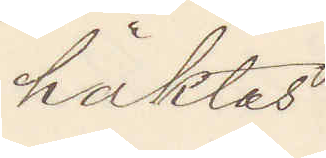häktas
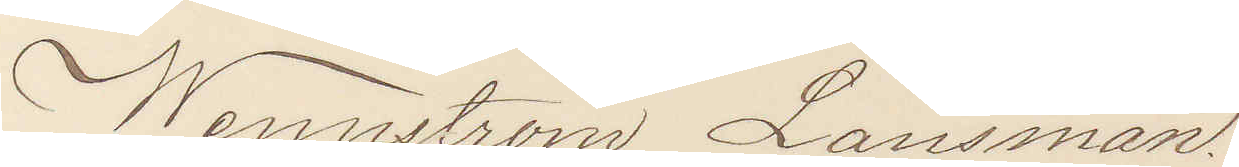Wennström Länsman.
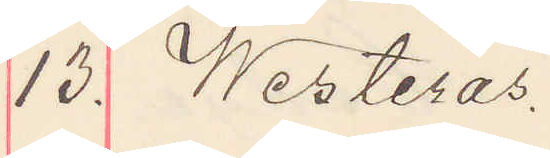13. Westerås
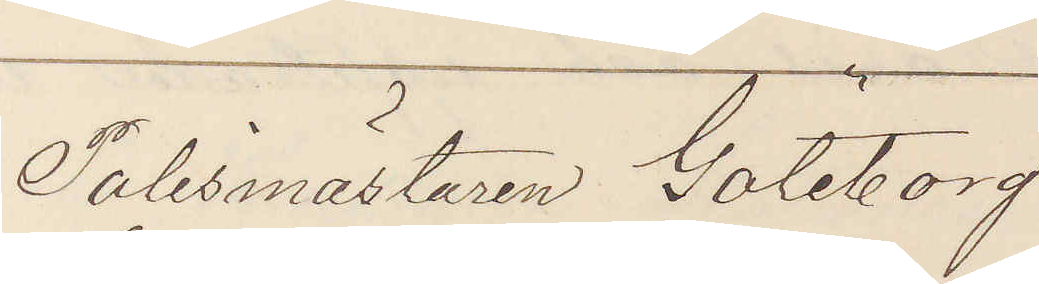Polismästaren Göteborg
